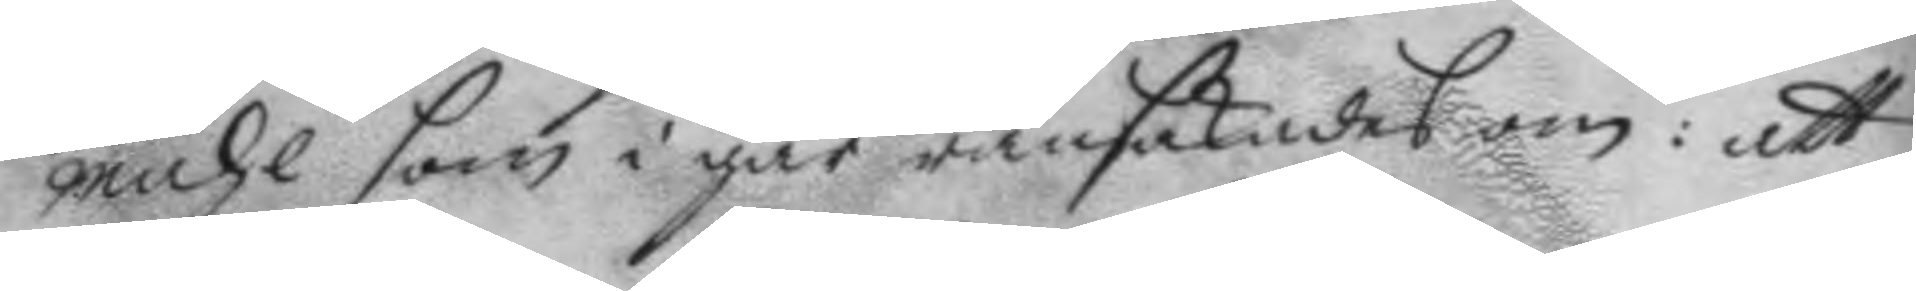måhl som i går ransakades om: att
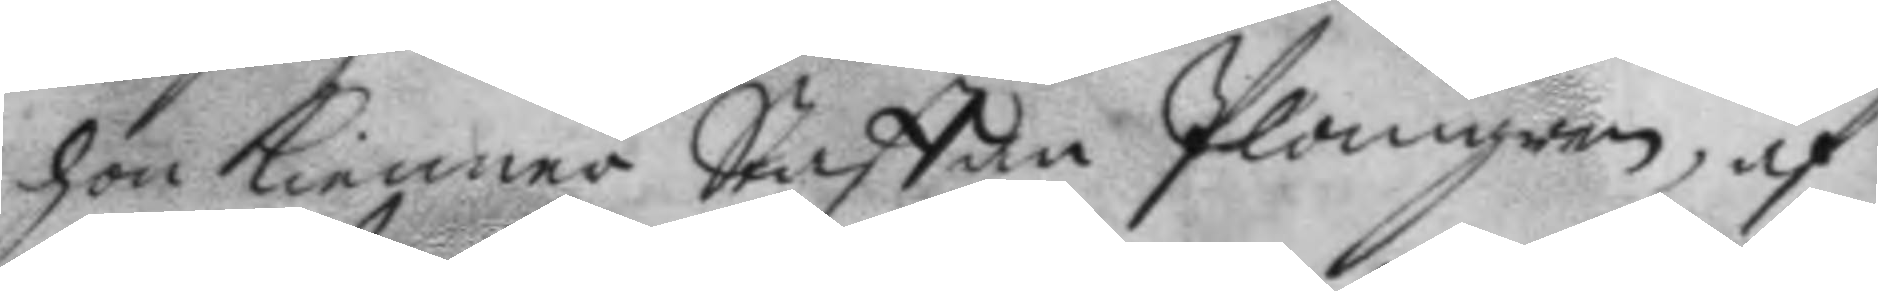hon Kienner Staffan Plangren, af
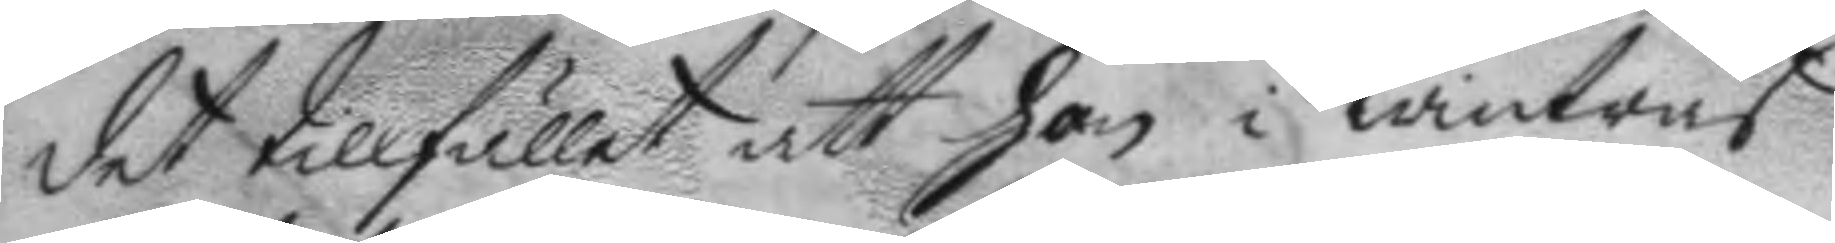det tillfället att hon i wintras
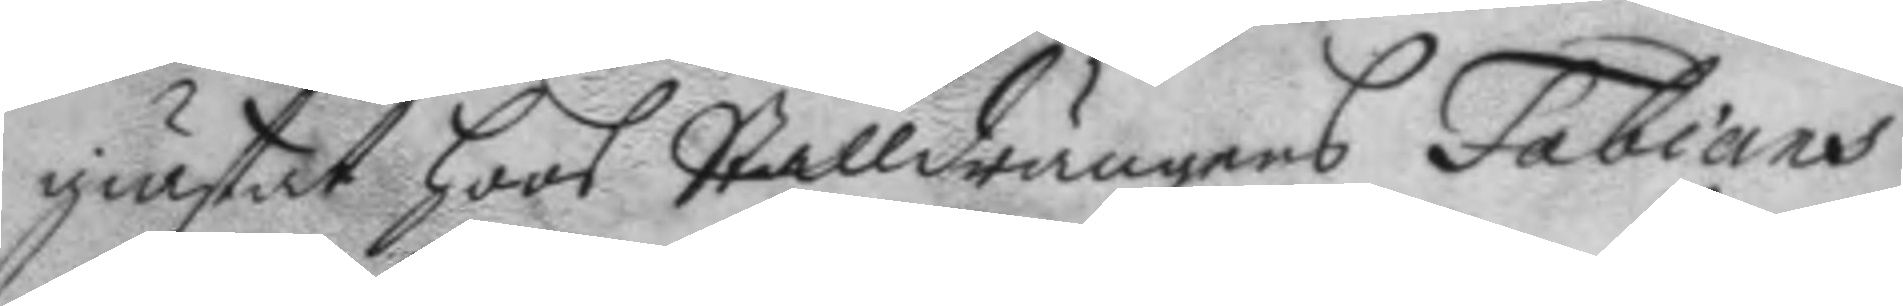giästat hoos Stalldrängens Fabians
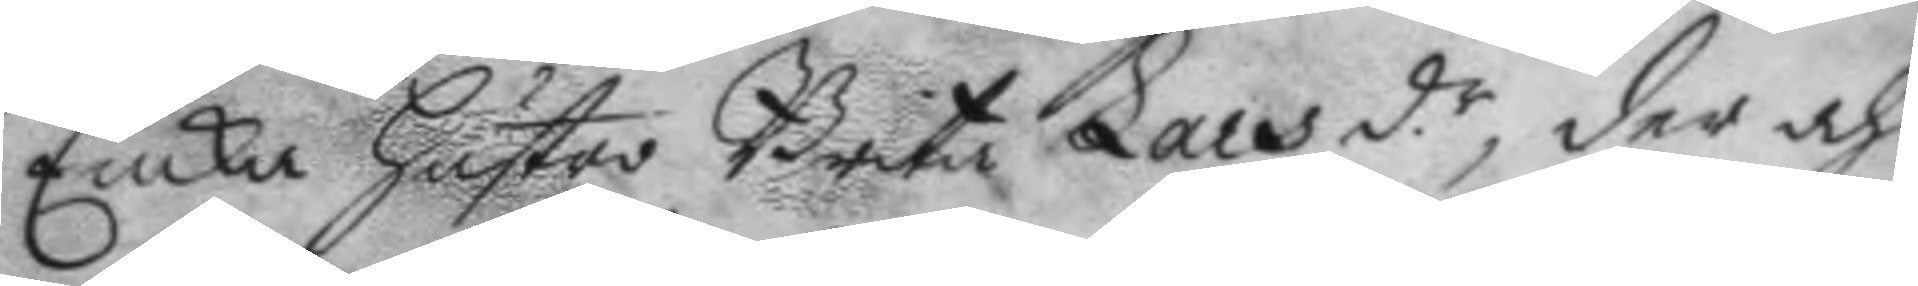Enka hustro Brita Lars d.r, der och 
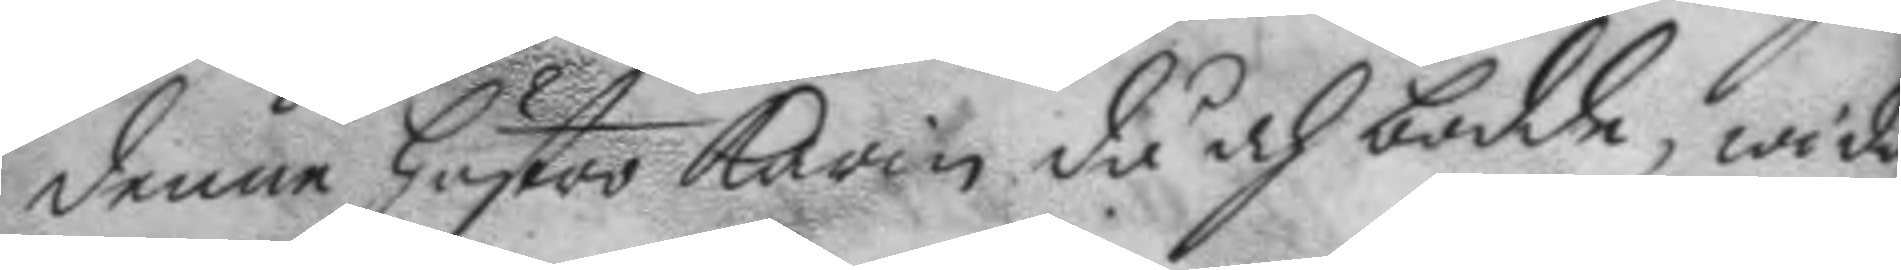denne hustro Karin då och bodde, wida¬
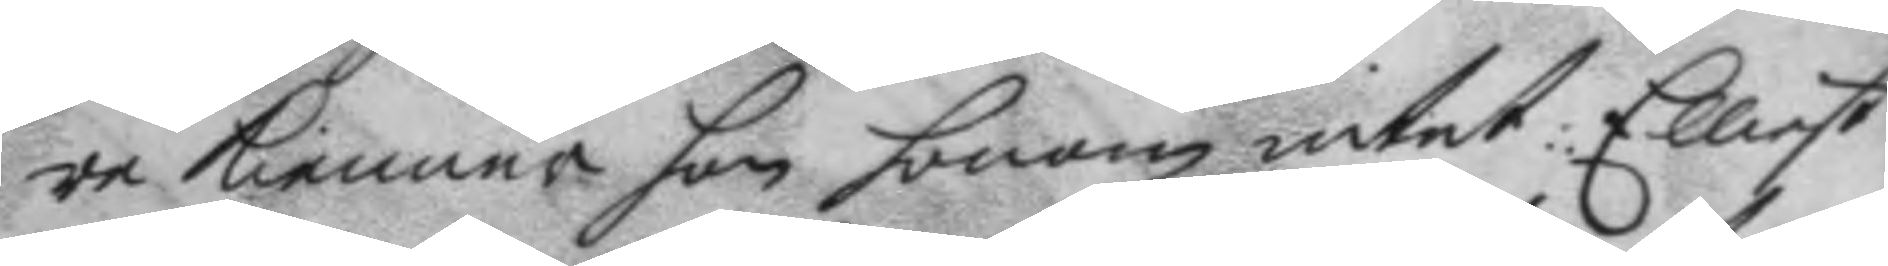re kienner hon honom intet: Elliest
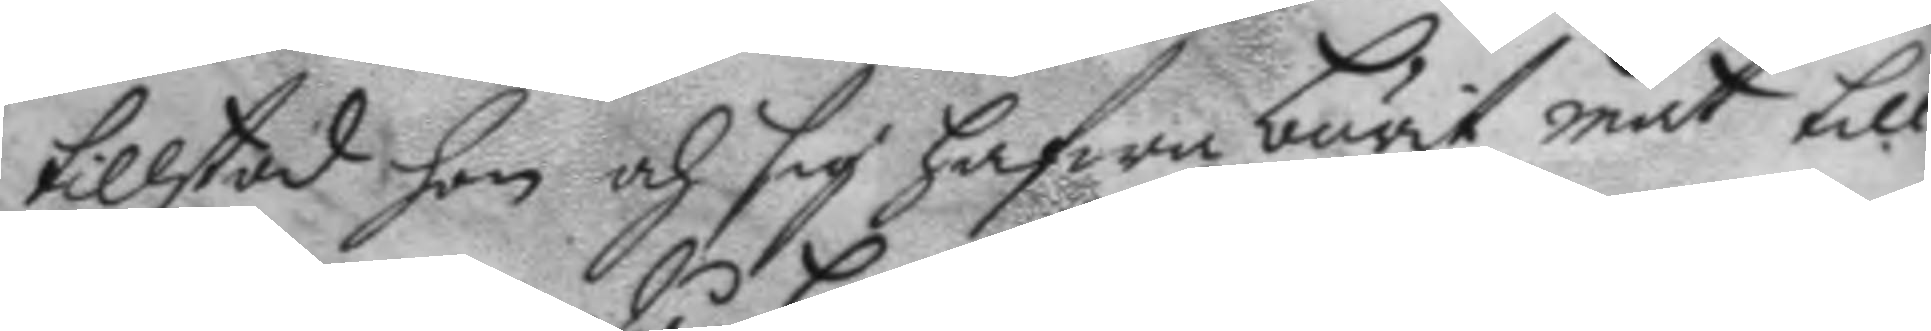tillstod hon och sig hafwa burit mat till
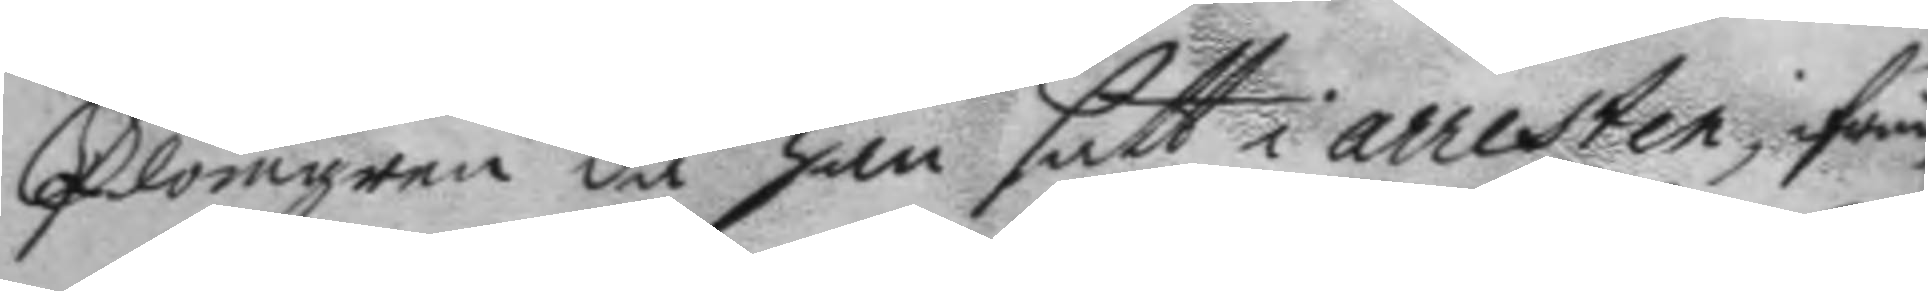Plomgren då han satt i arresten, ifrån
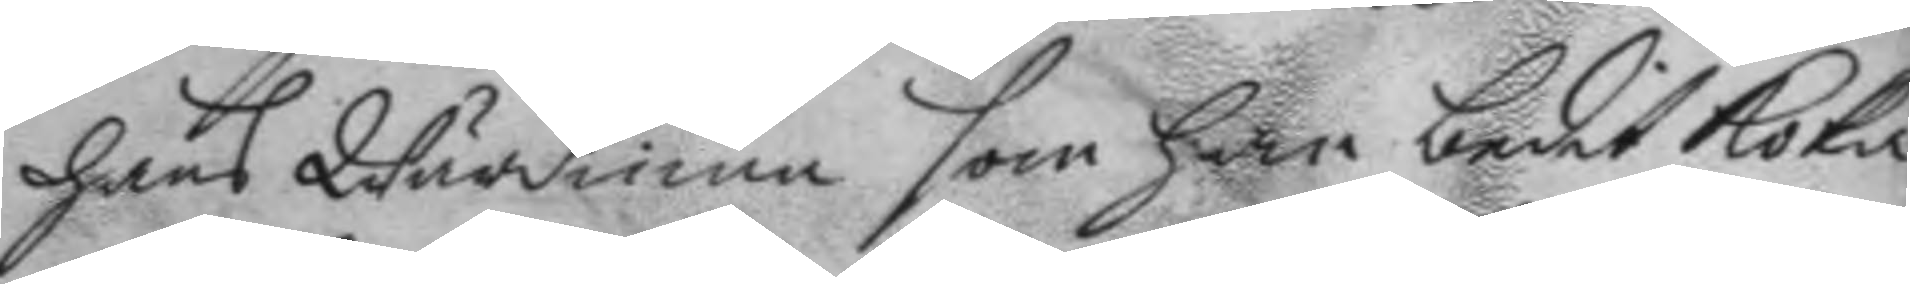hans Wärdinna som han bedit koka
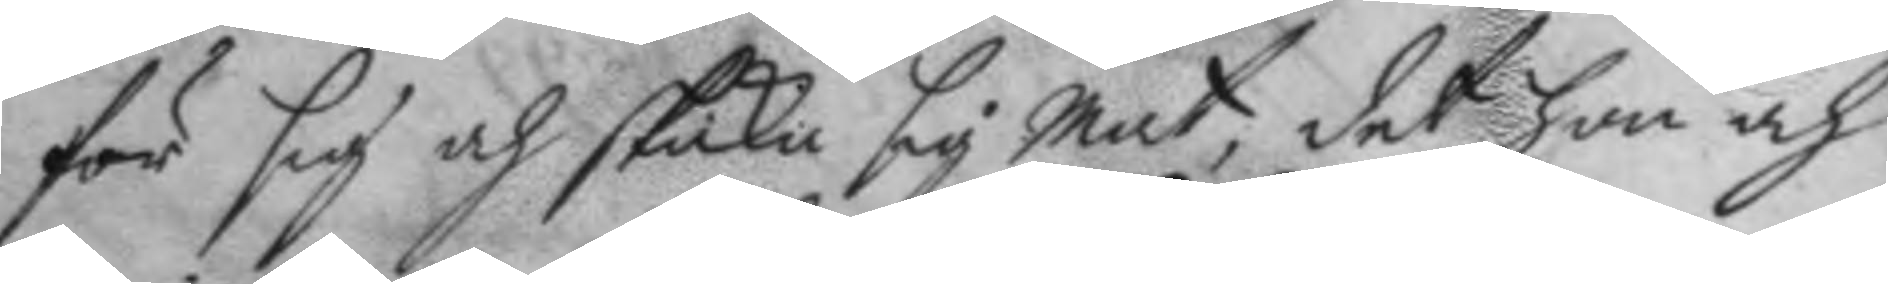för sig och skicka sig mat, det hon och
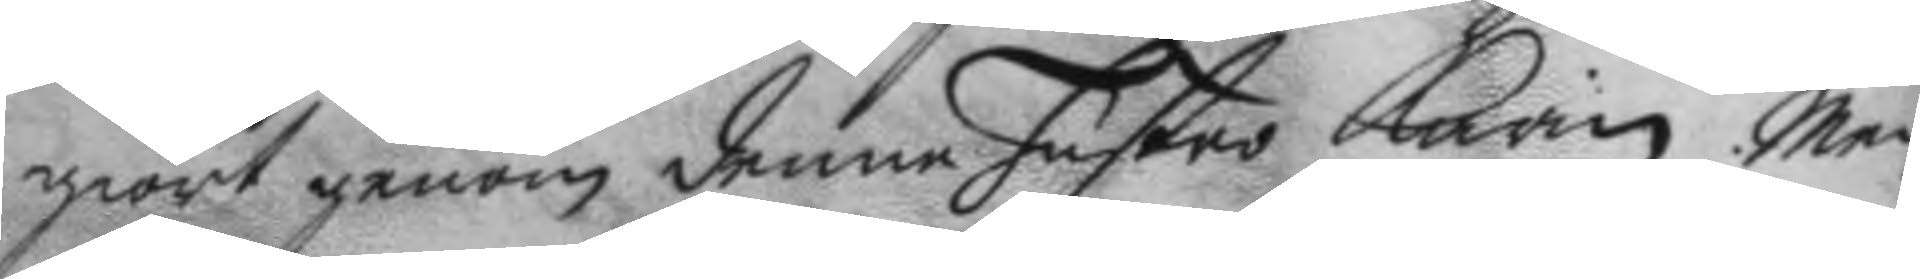giort genom denne hustro Karin Men
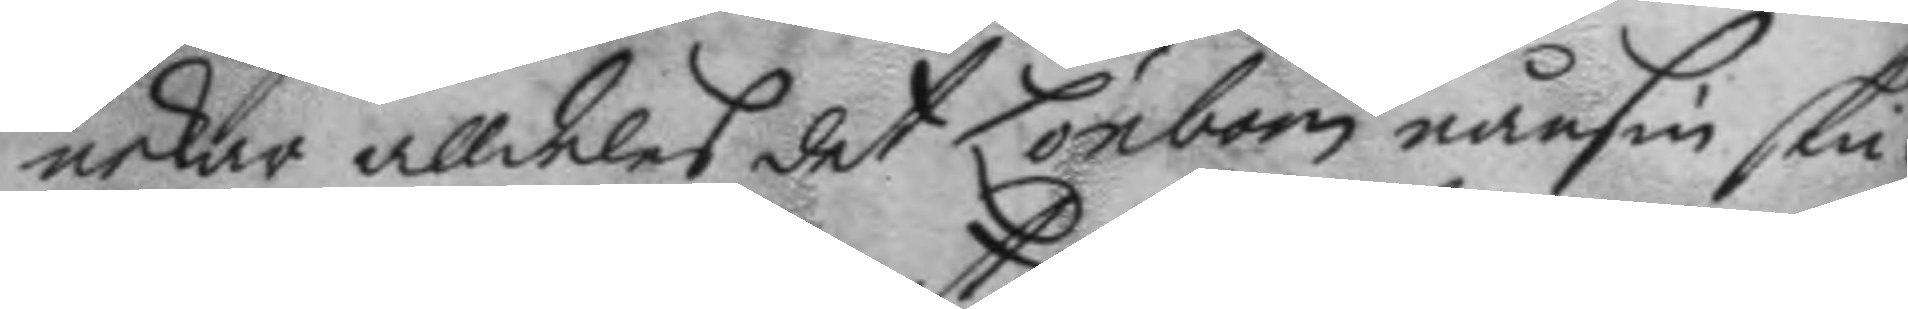nekar alldeles det Lönbom nånsin skic¬
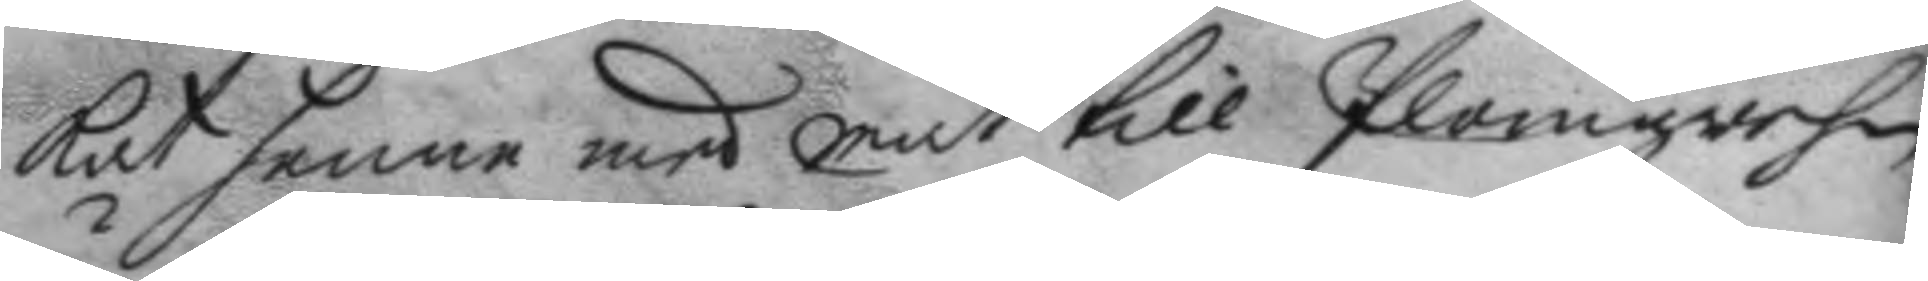kat henne med mat till Plomgrehn,
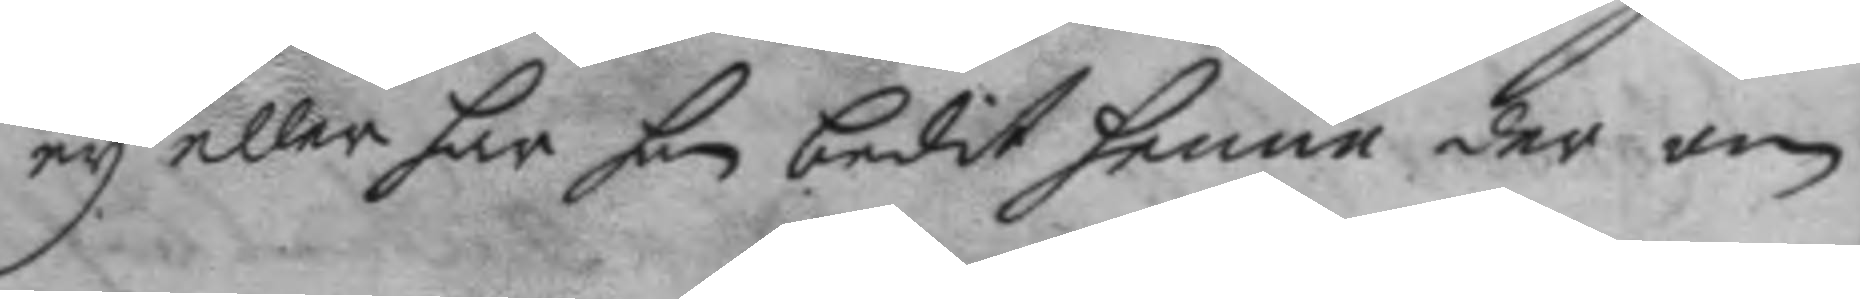ey eller har han bedit henne der om
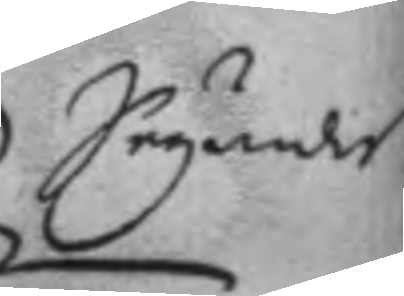Seyandes
